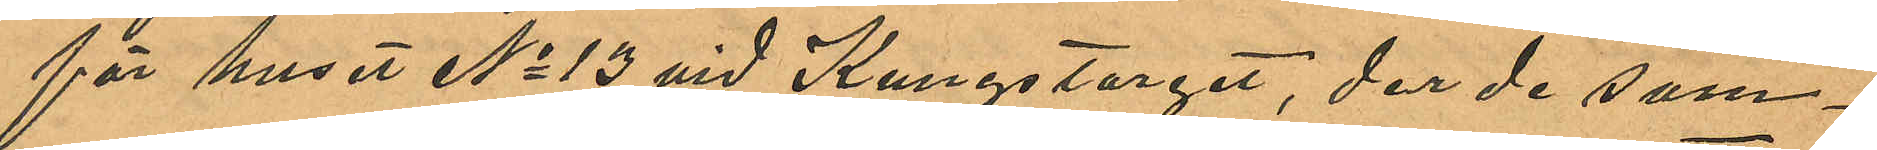för huset No 13 vid Kungstorget, der de sam¬
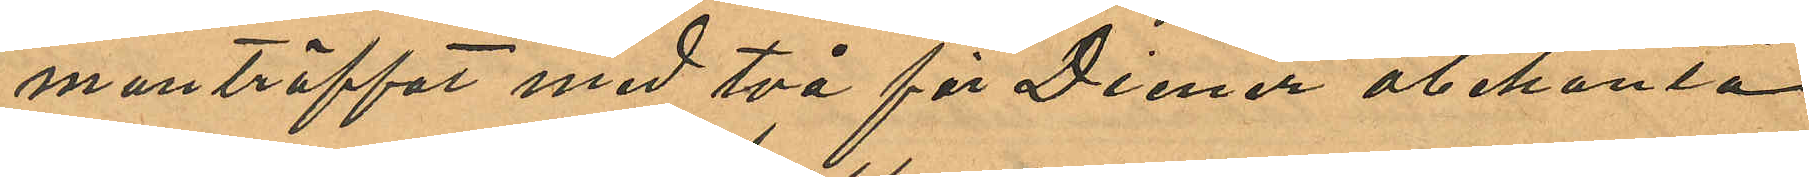manträffat med två för Diener obekanta
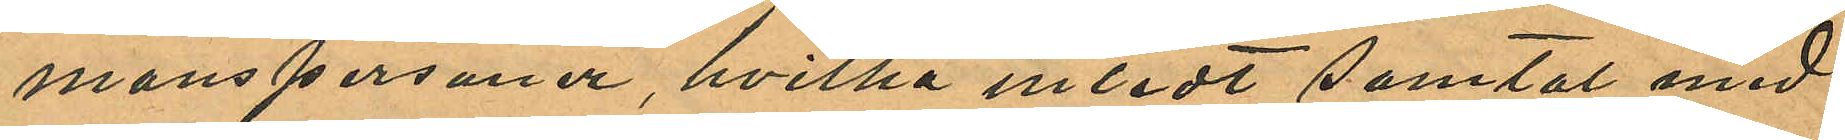manspersoner, hvilka inledt samtal med
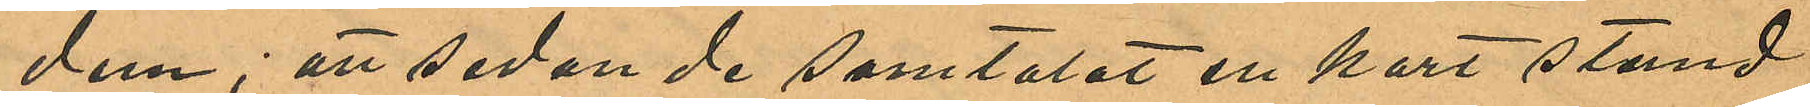dem; att sedan de samtalat en kort stund
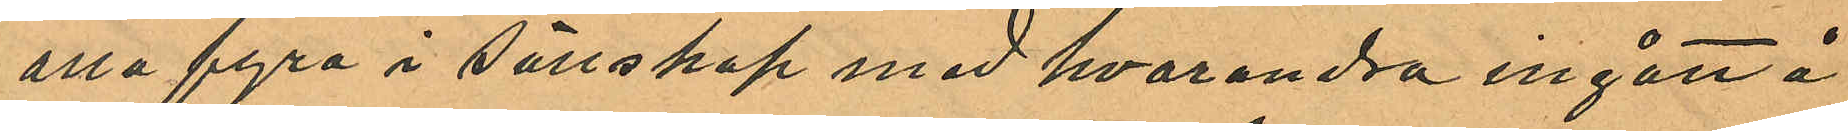alla fyra i sällskap med hvarandra ingått å
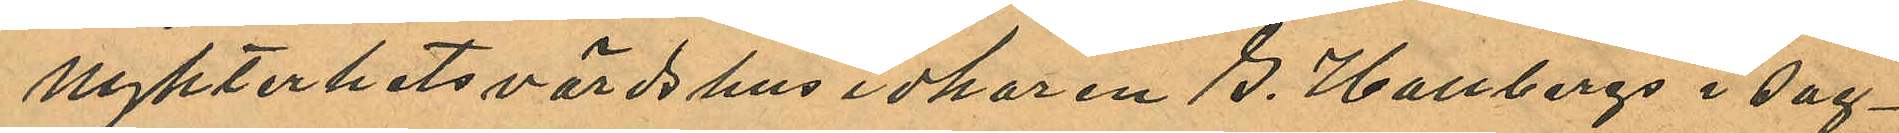Nykterhetsvärdshusidkaren G. Hallbergs i sag¬
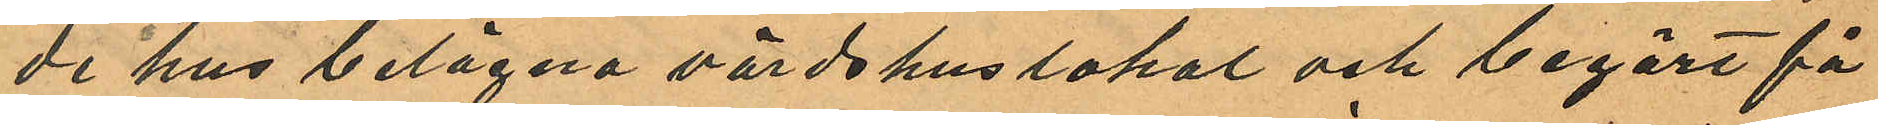de hus belägna värdshuslokal och begärt få
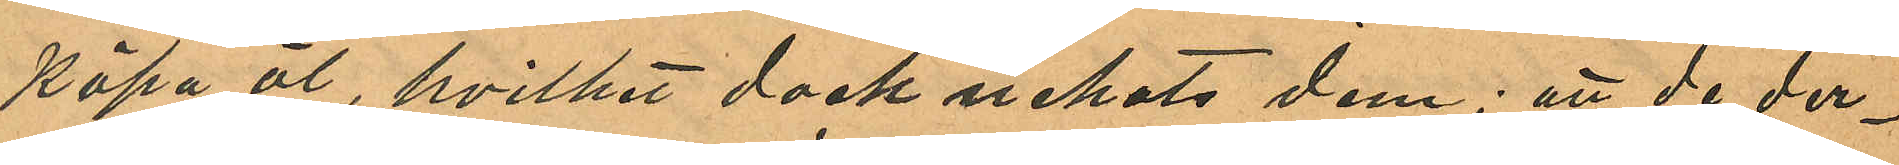köpa öl, hvilket dock nekats dem; att de der¬
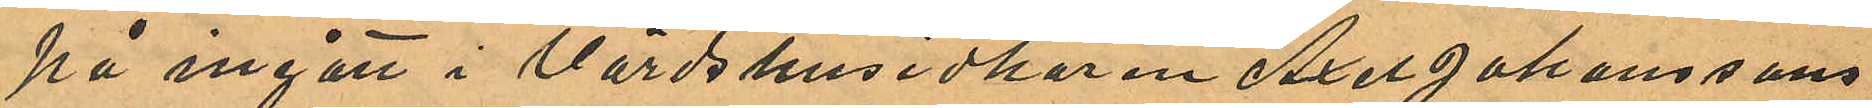på ingått i Värdshusidkaren Axel Johanssons
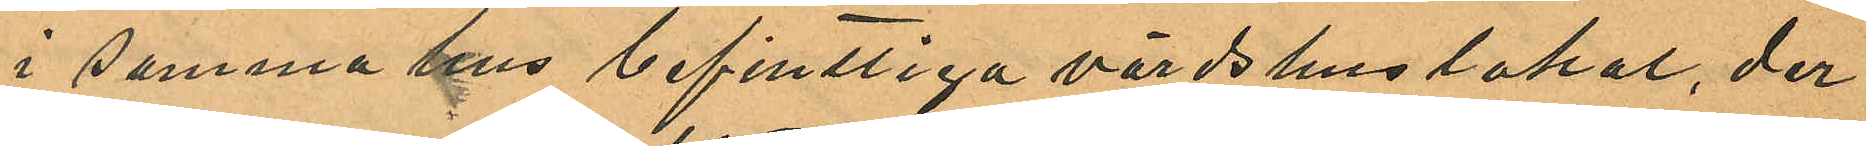i samma hus befintliga värdshuslokal, der
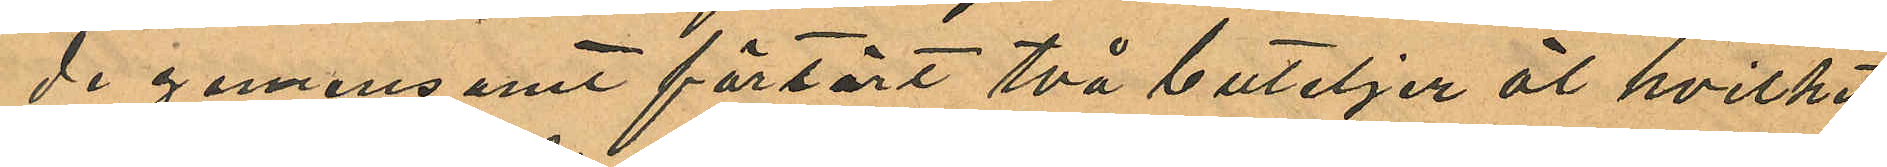de gemensamt förtärt två buteljer öl hvilket
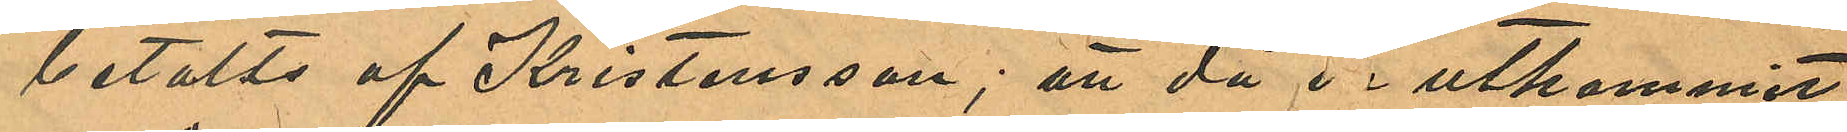betalts af Kristensson; att då de utkommit
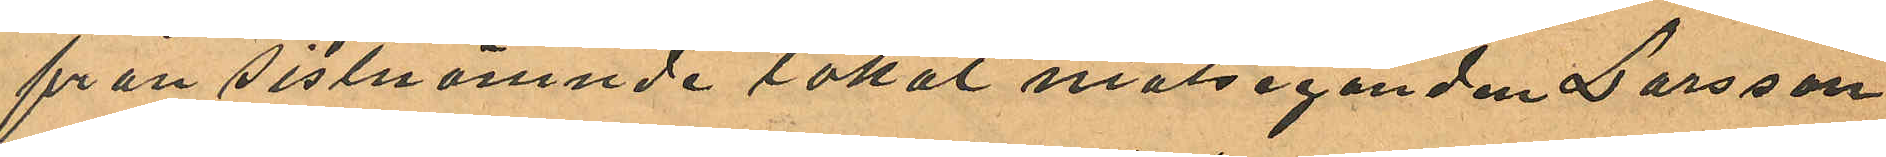från sistnämnde lokal målseganden Larsson
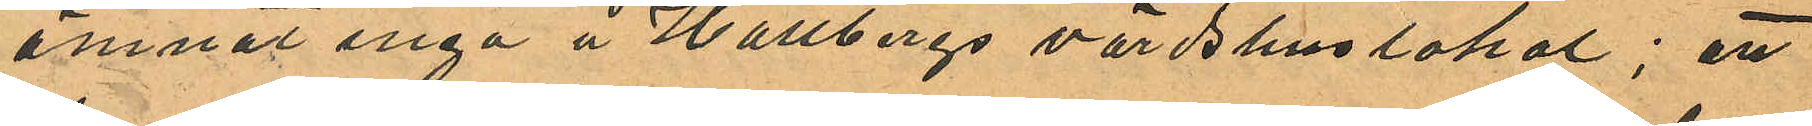ämnat ingå å Hallbergs värdshuslokal; att
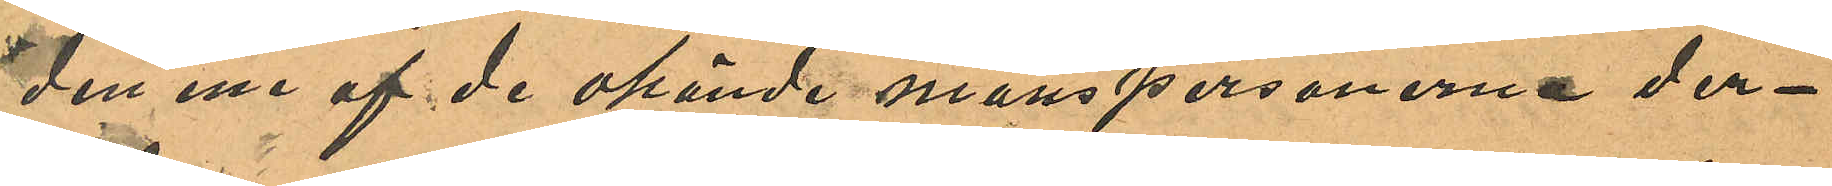den ene af de okände manspersonerna der¬
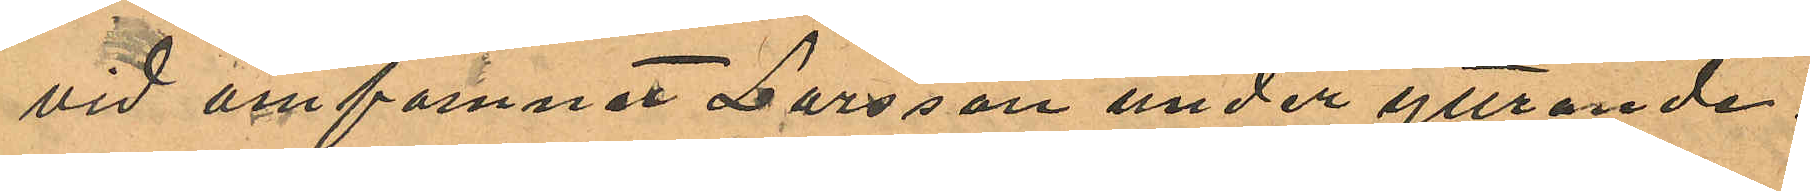vid omfamnat Larsson under yttrande:
